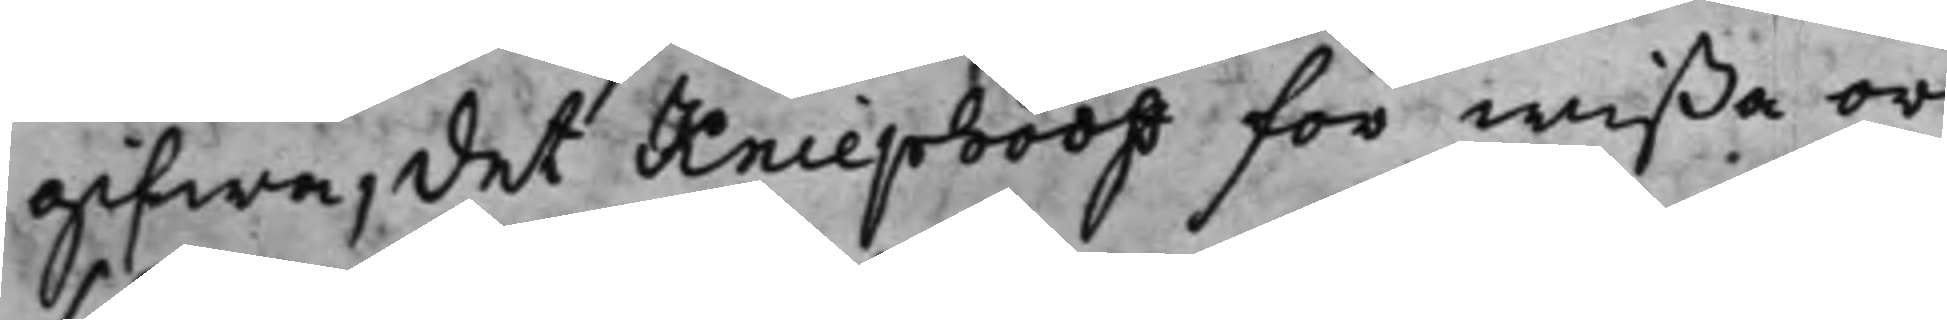gifwa, det Kniephooff för wißa or¬
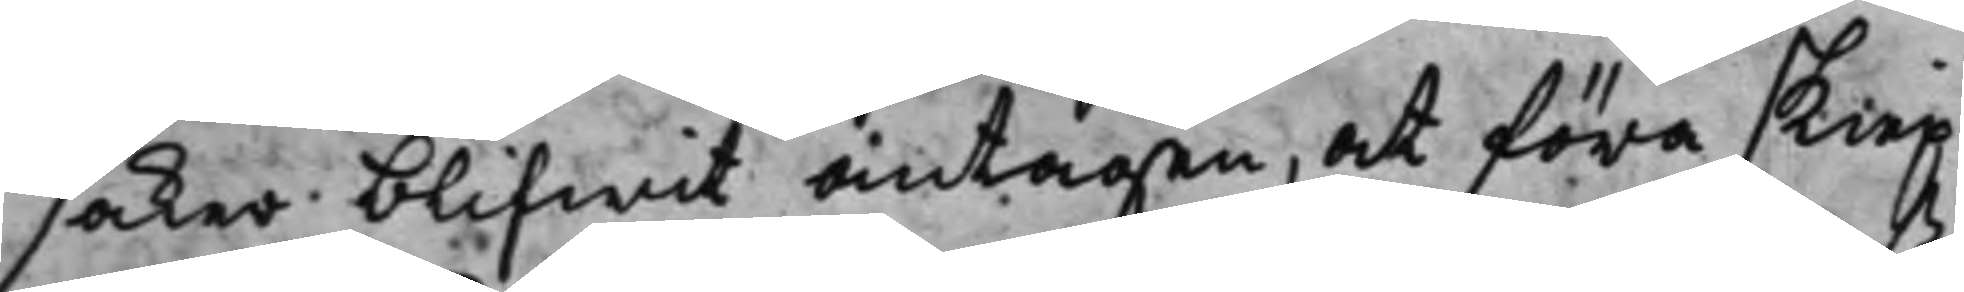saker blifwit antagen, at föra skiep¬
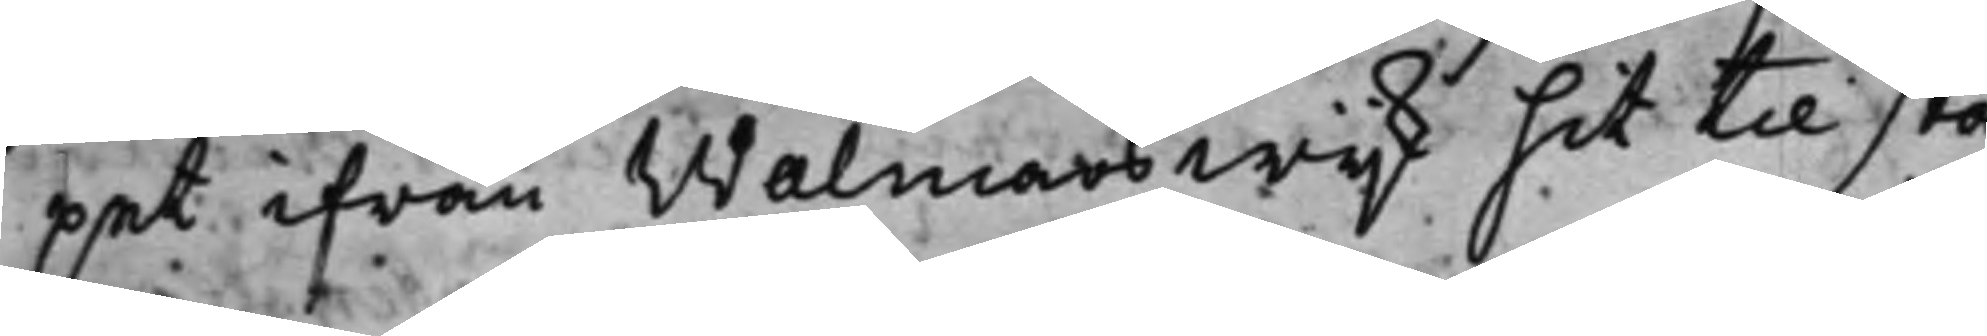pet ifrån Walmars wijk hit til sta¬
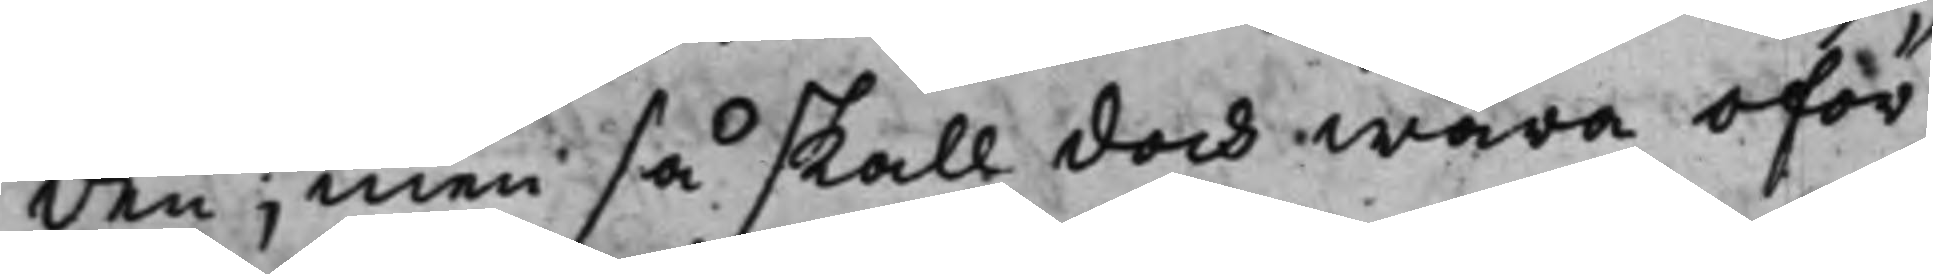den, men så skall doch wara oför¬
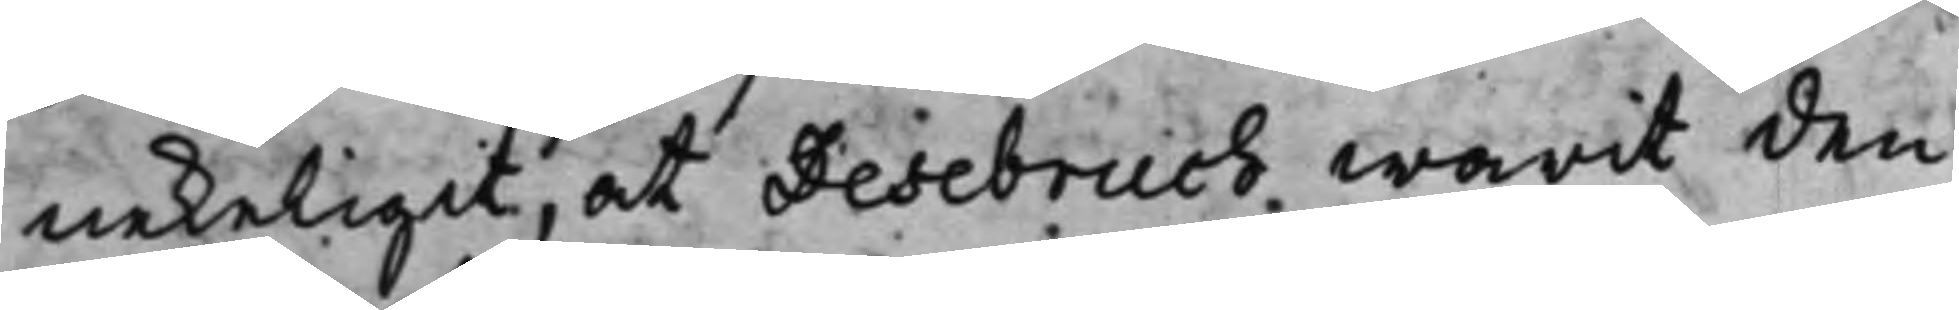nekeligit, at Desebruch warit den
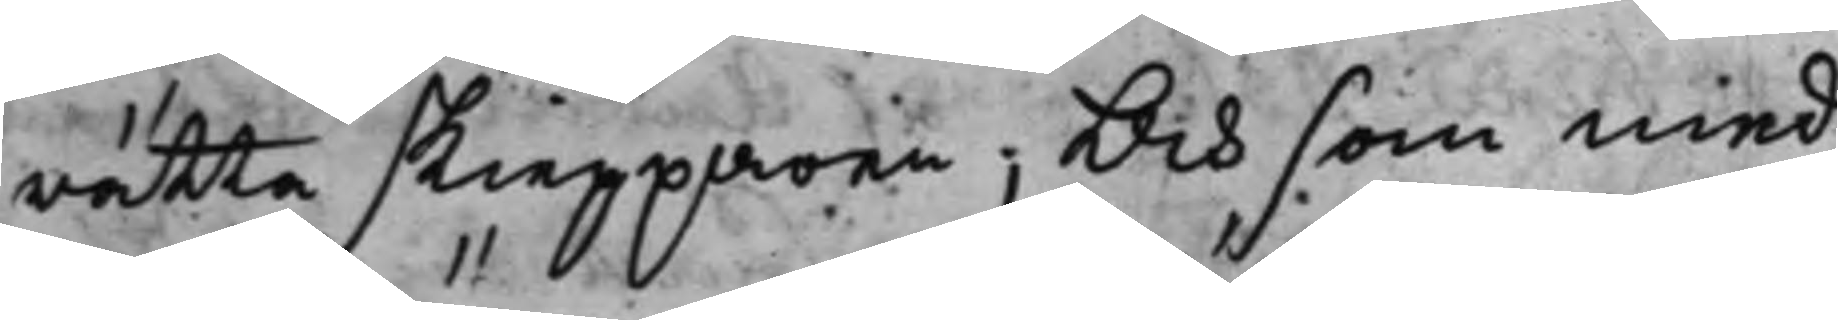rätta skiepparen; Och som med
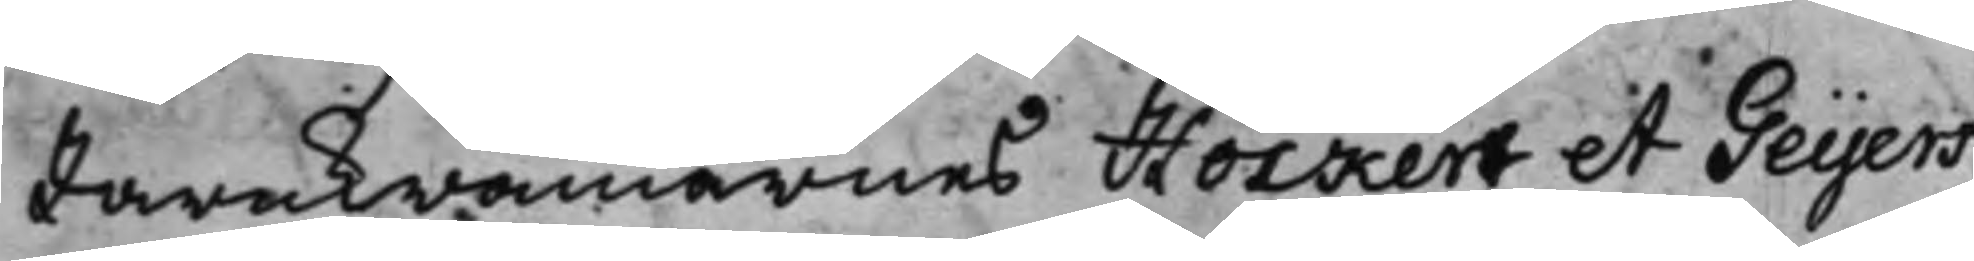Jernkrämarnes Höckert et Geijers,
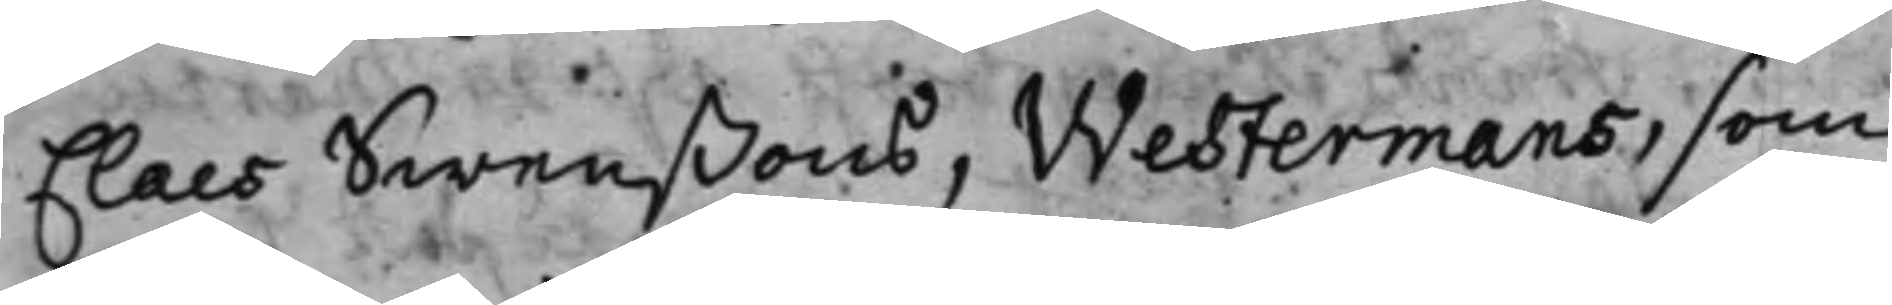Claes Swenßons, Westermans, som
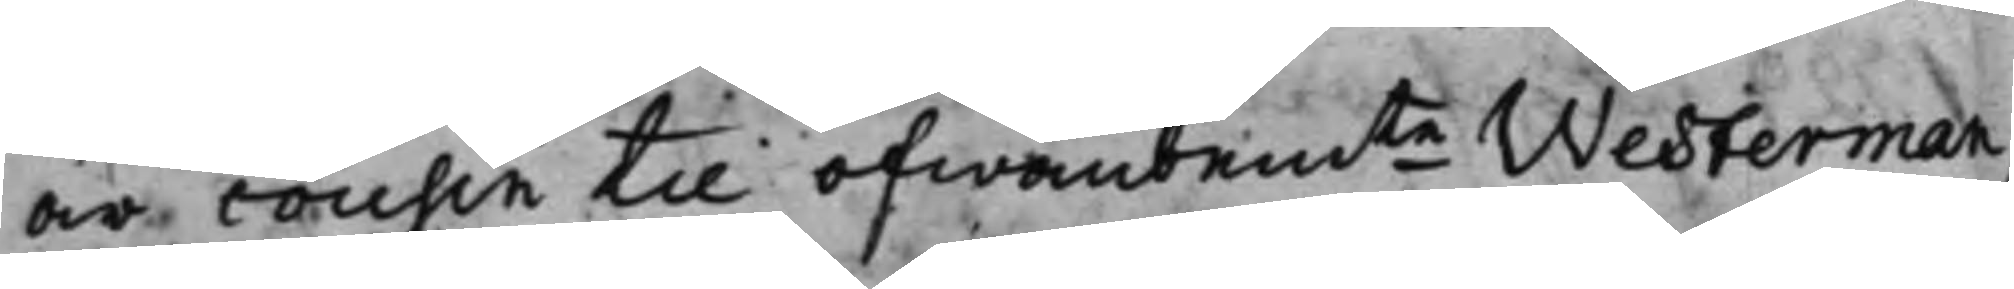är cousin til ofwanbem.te Westerman,
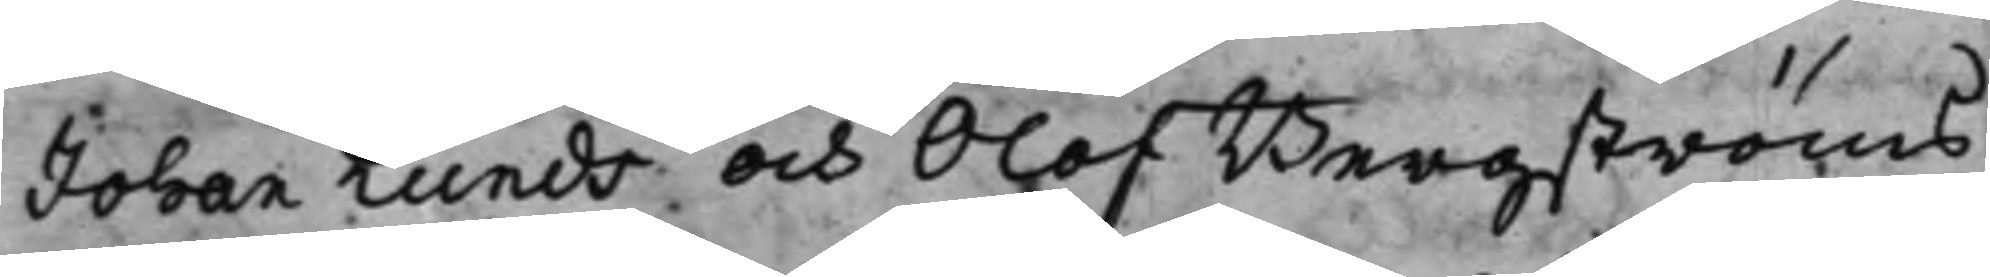Johan Lunds och Olof Bergströms
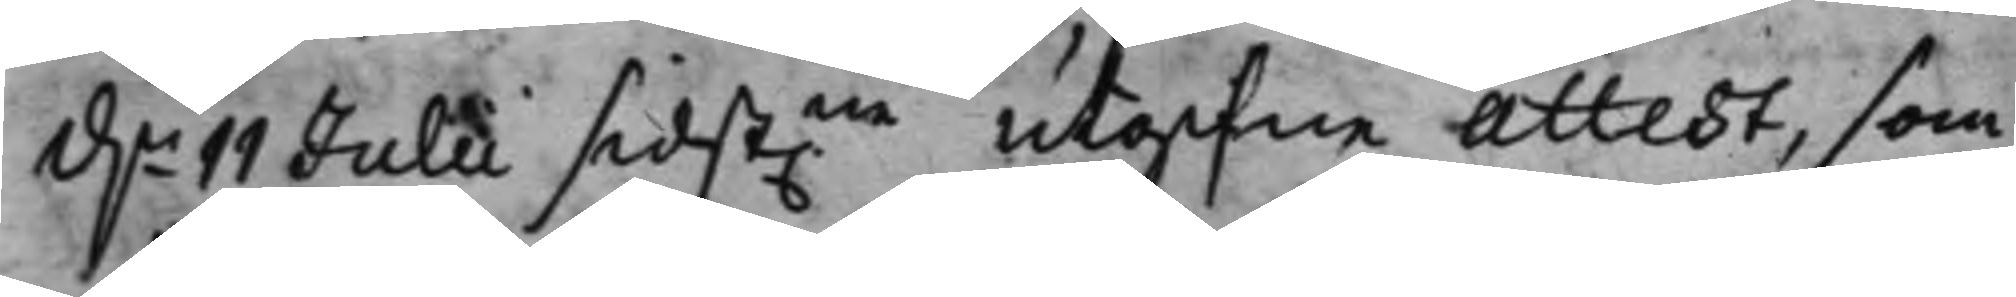d.n 11 Julii sidst.ne utgifne Attest, som
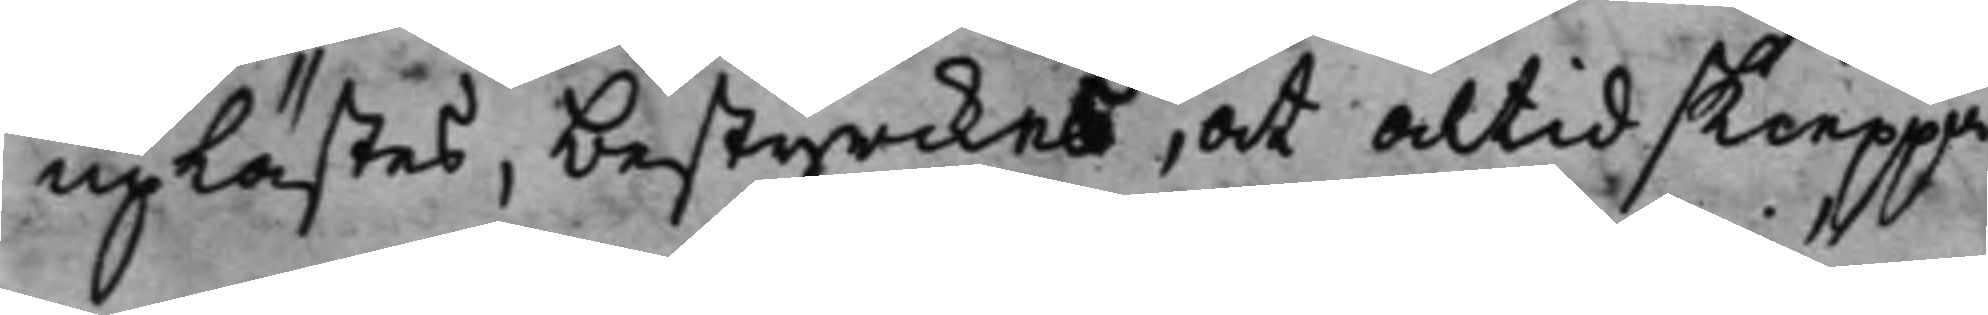uplästes, bestyrckes, at altid skieppa¬
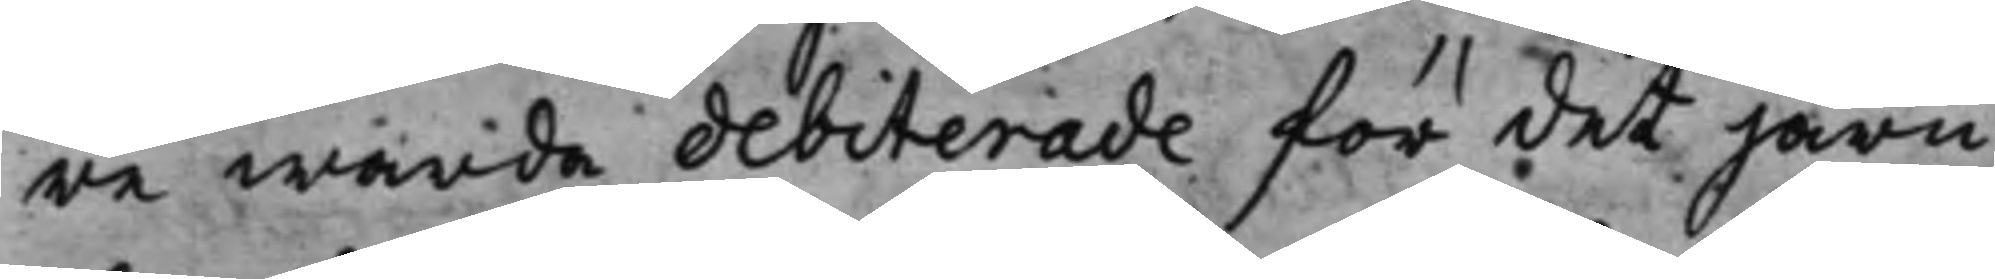re warda debiterade för det järn
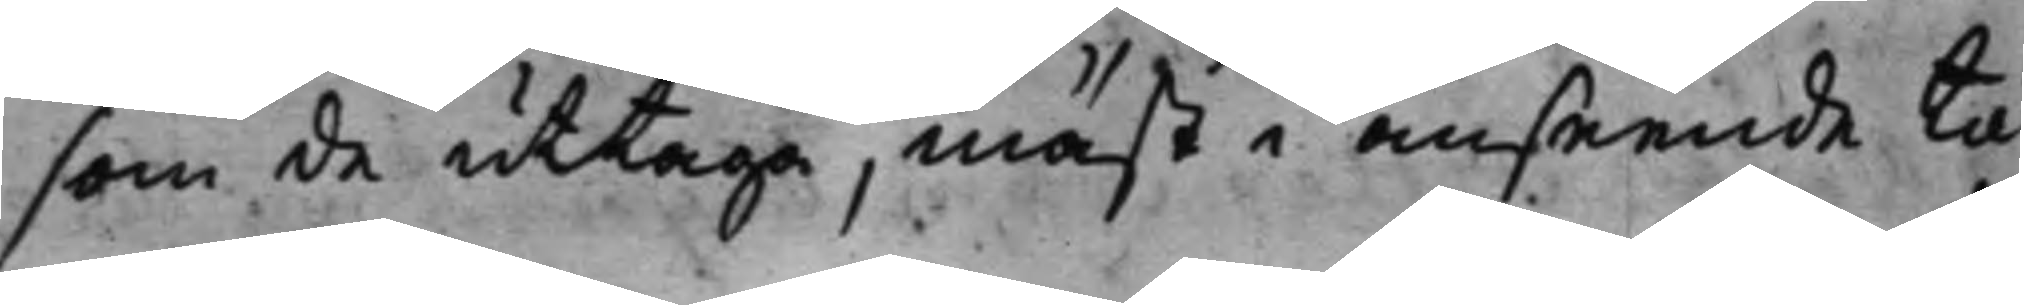som de uttaga, mäst i anseende til
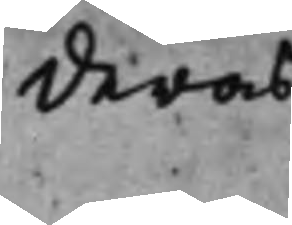deras
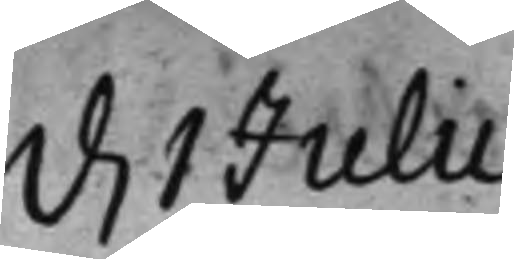d. 1 Julii
